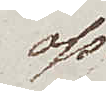oss
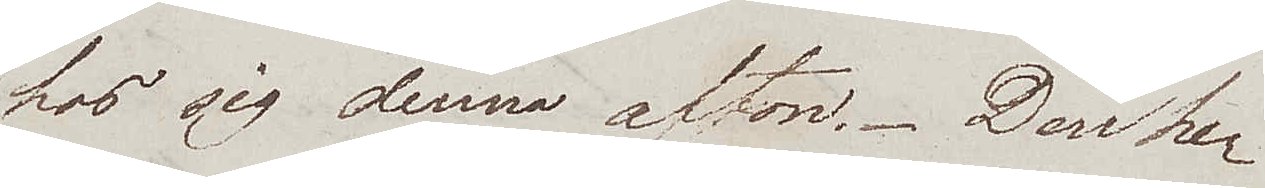hos sig denna afton. Den he¬
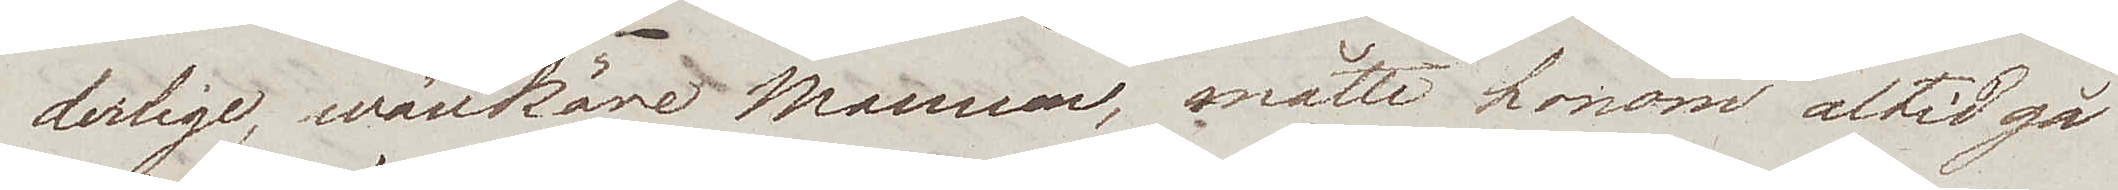derlige, wänkäre Mannen, måtte honom altid gå
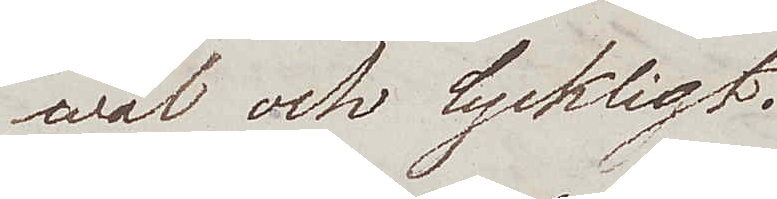wäl och lyckligt.
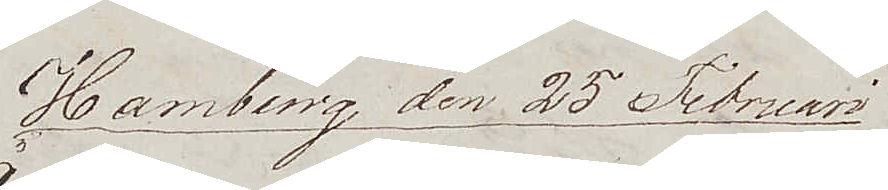Hamburg den 25 Februari
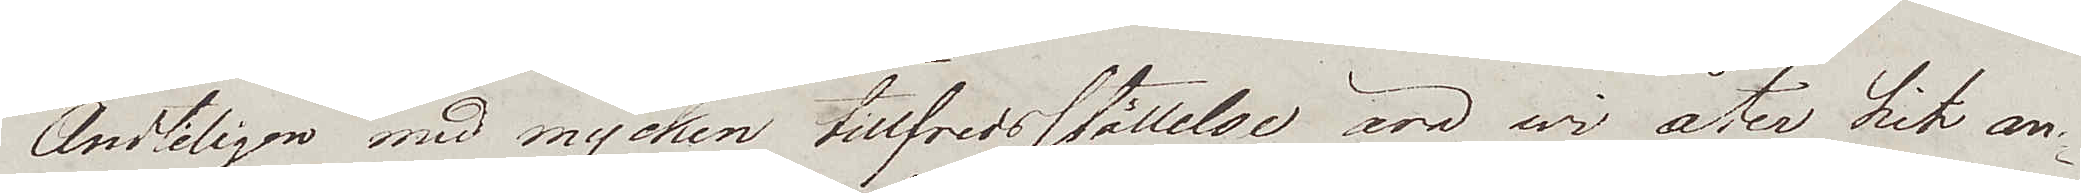Ändteligen med mycken tillfredsställelse äro wi åter hit an¬
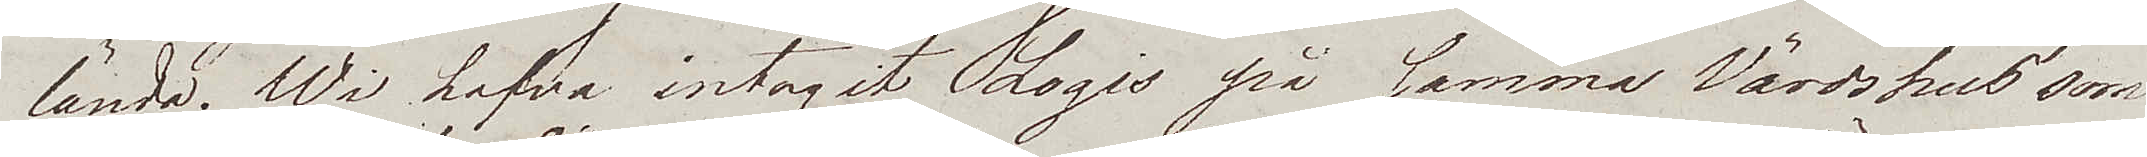lända. Wi hafva intagit Logis på samma Värdshus som
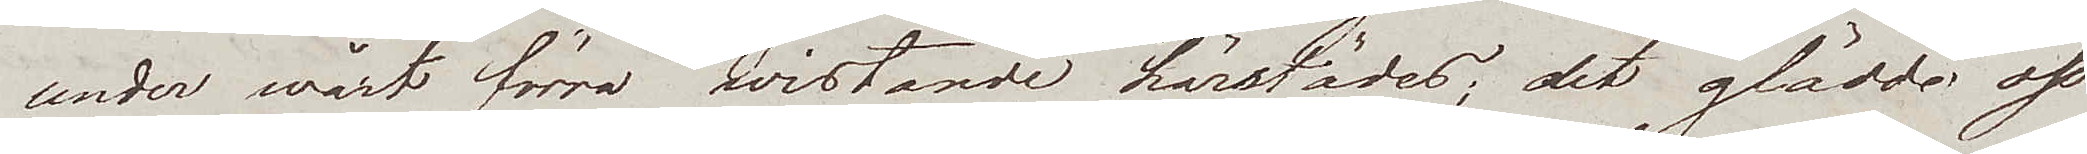under wårt förra wistande härstädes; det glädde oss
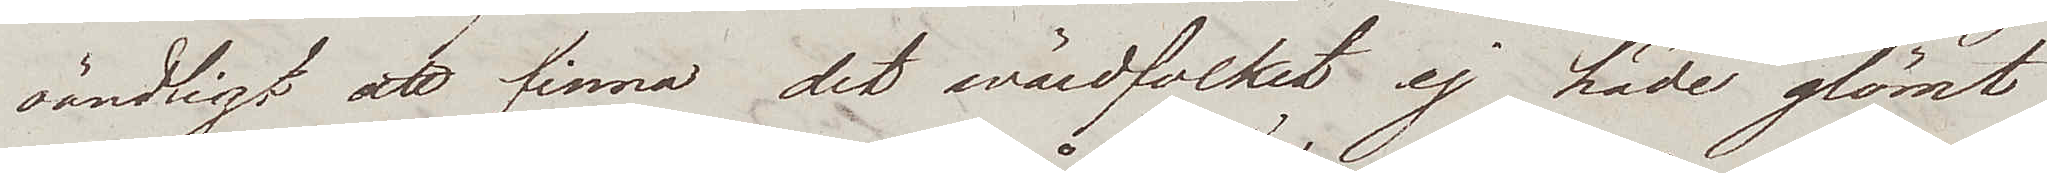oändligt att finna det wärdfolket ej hade glömt
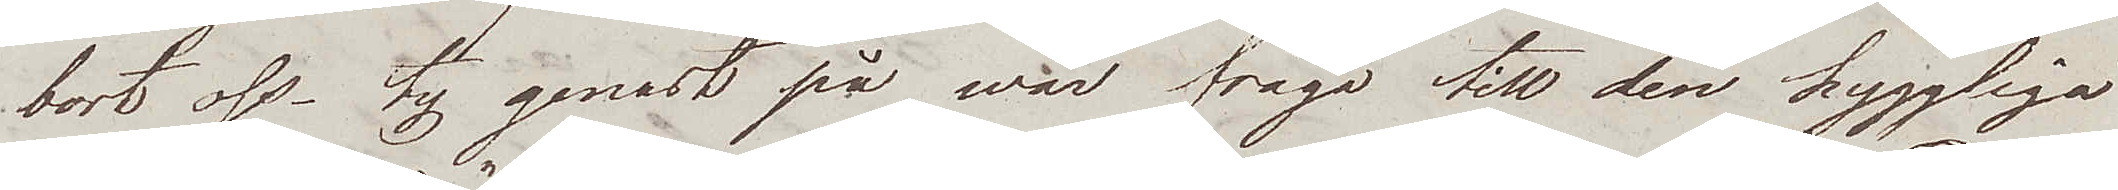bort oss – ty genast på wår fråga till den hyggliga
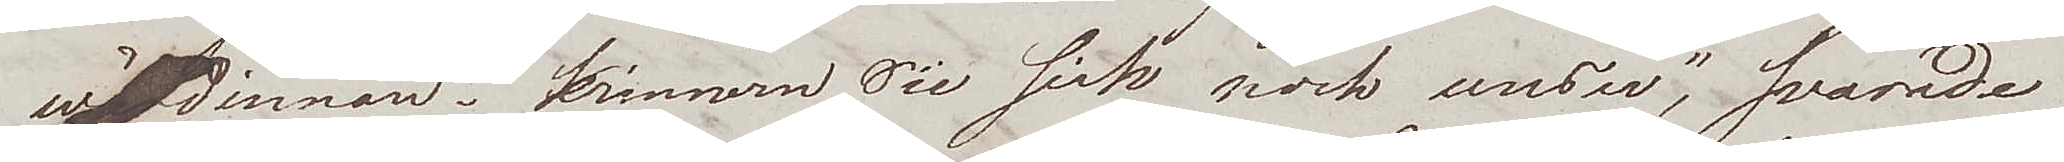wärdinnan "erinnern Sie sich noch unser", svarade
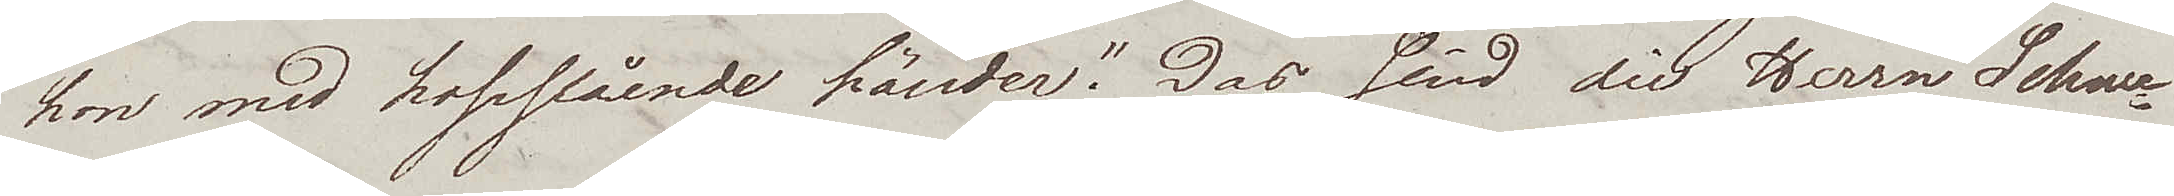hon med hopslående händer "Das sind die Herrn Schwe¬
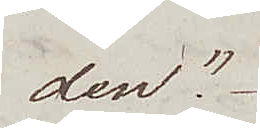den."
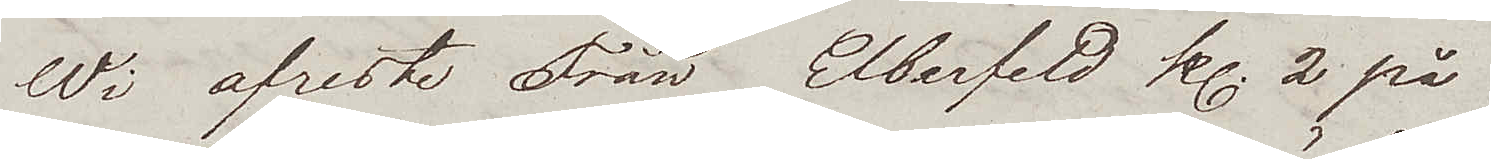Wi afreste Från Elberfeld kl. 2 på
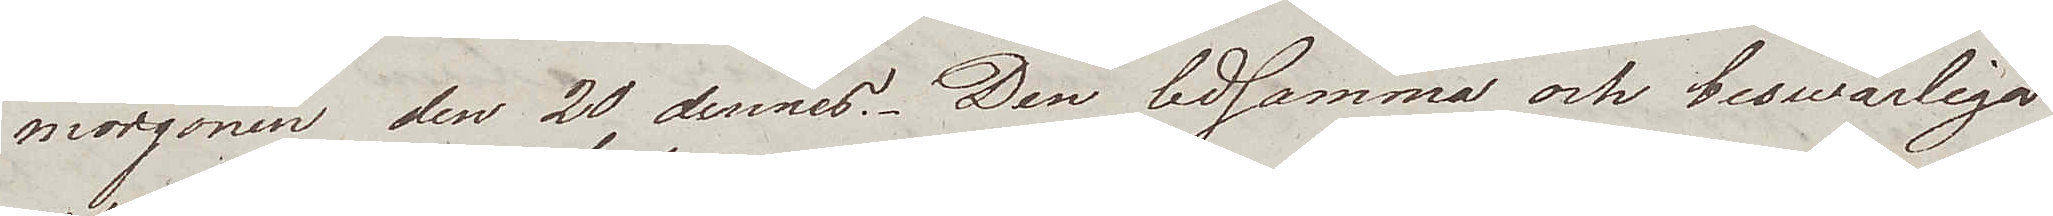morgonen den 20 dennes. Den ledsamma och beswärliga
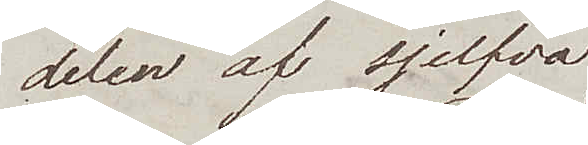delen av sjelfva
